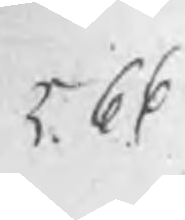566
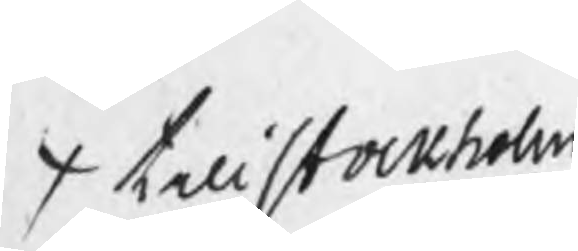x till stockholm
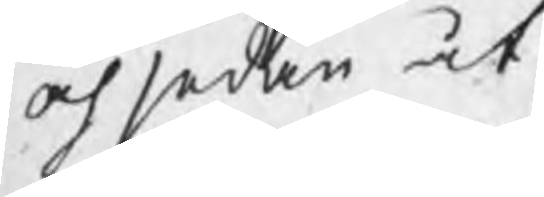och sedan åt
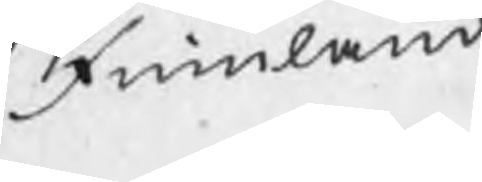Finnland
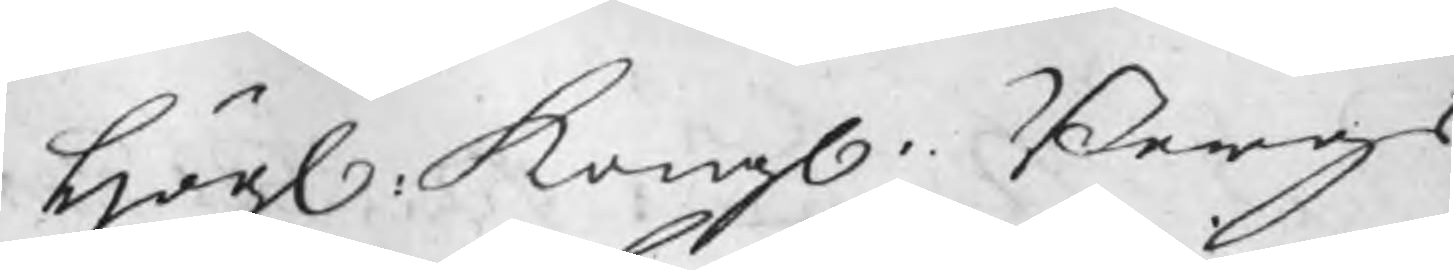Högl. Kongl. Bergs
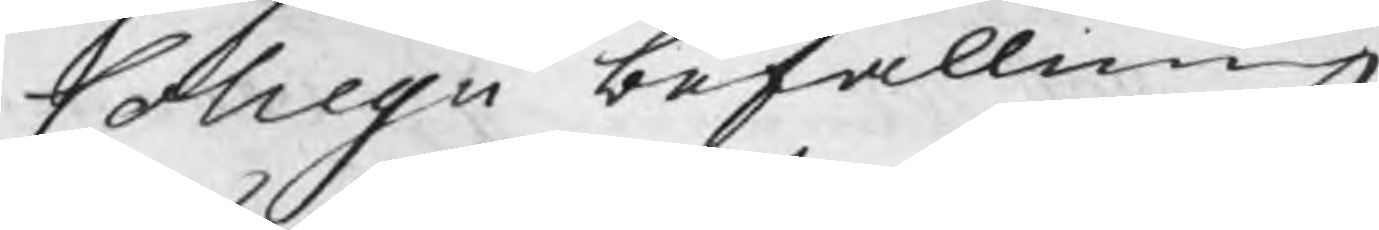Collegii befallning
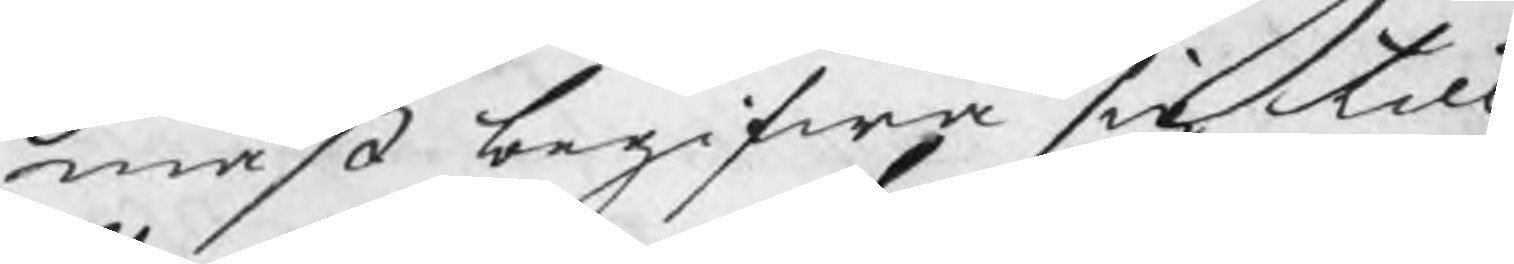måst begifwa sig till
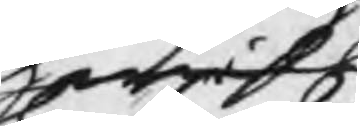hwilk
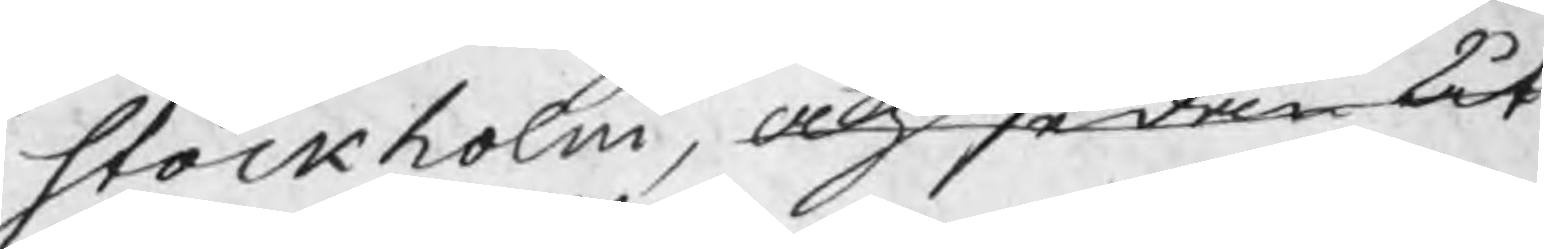Stockholm, och sedan åt
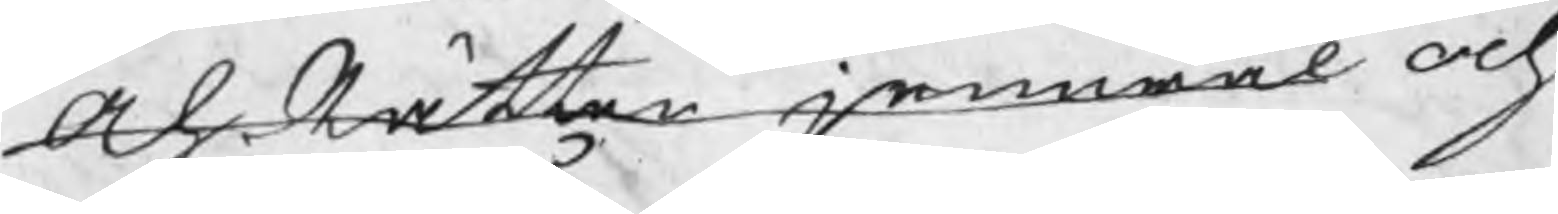Ah Rätten jemwäl och
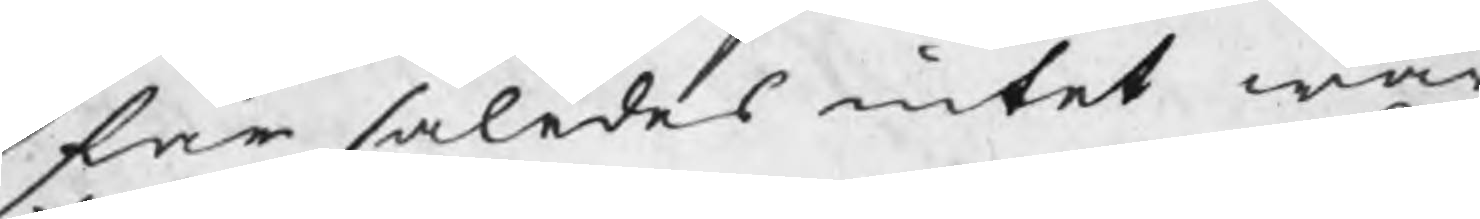får således intet war
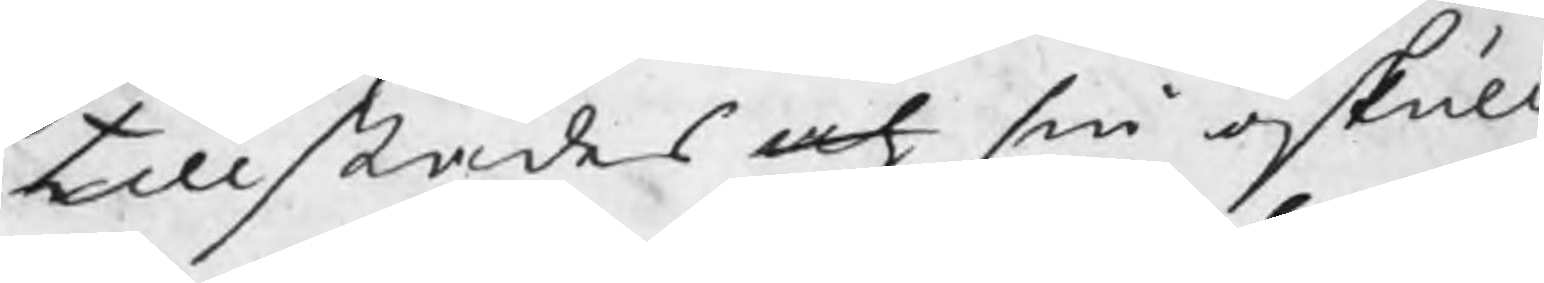tillstädes och sin oskuld
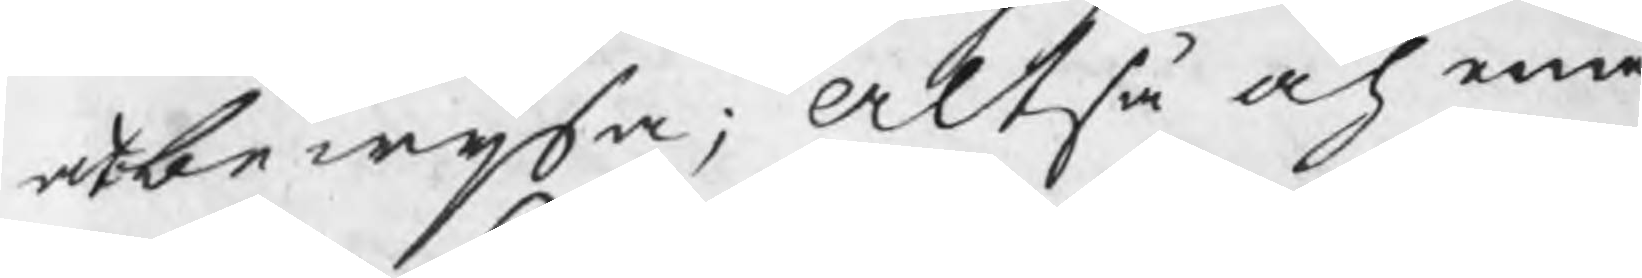at bewisa; Altså och eme¬
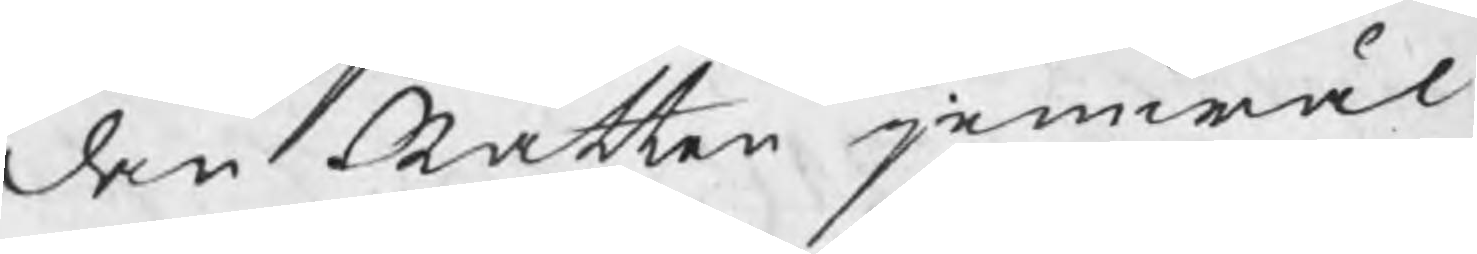dan Rätten jemwäl
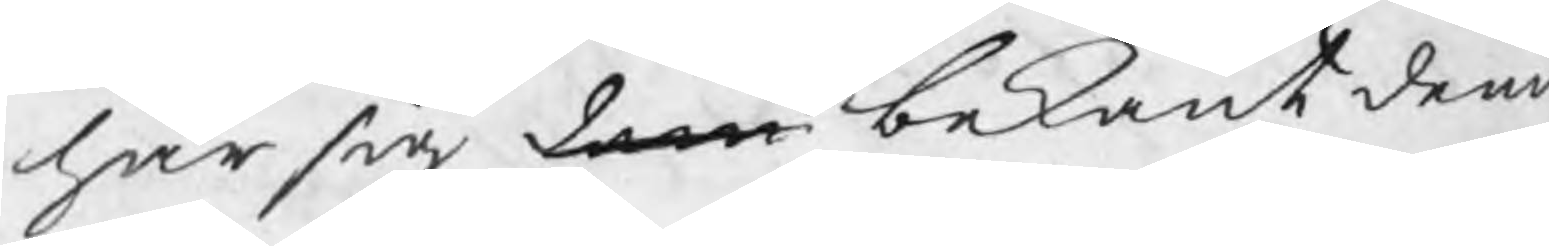har sig dem bekant denn
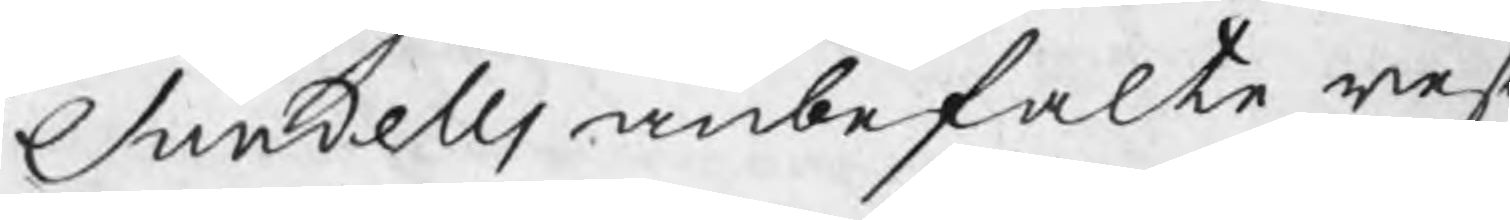Sundells anbefalte resa
